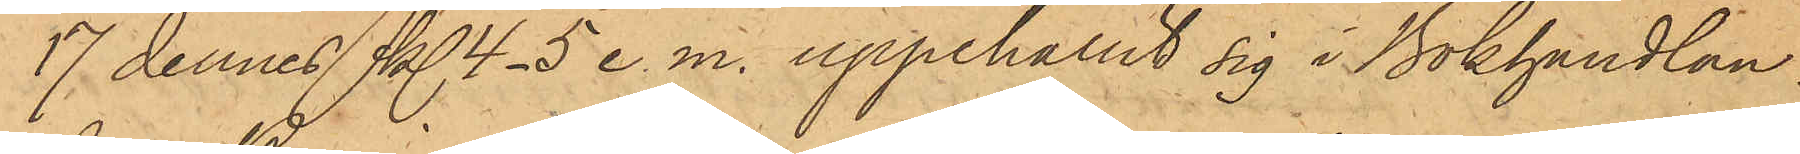17 dennes kl 4-5 e.m. uppehållit sig i Bokhandlan¬
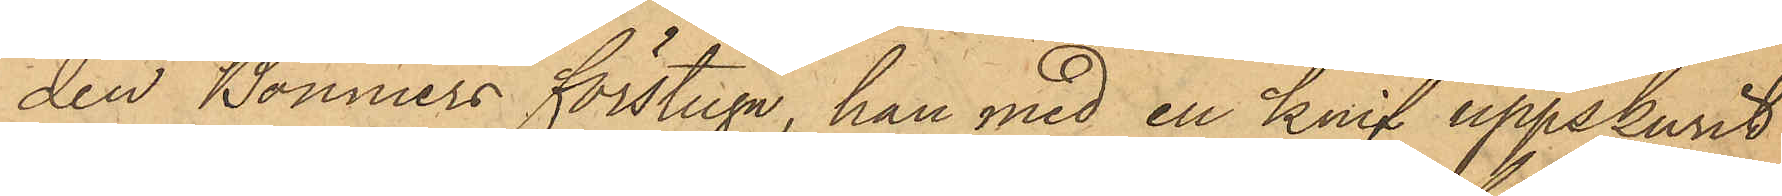den Bonniers förstuga, han med en knif uppskurit
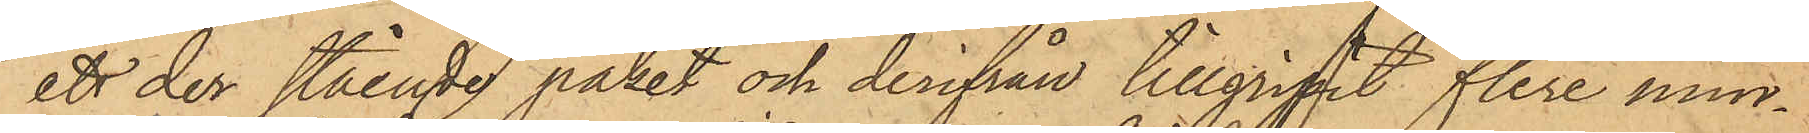ett der stående paket och derifrån tillgripit flere mind¬
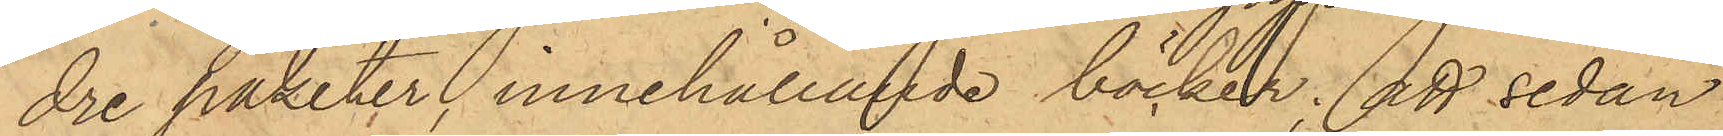dre paketer innehållande böcker; att sedan
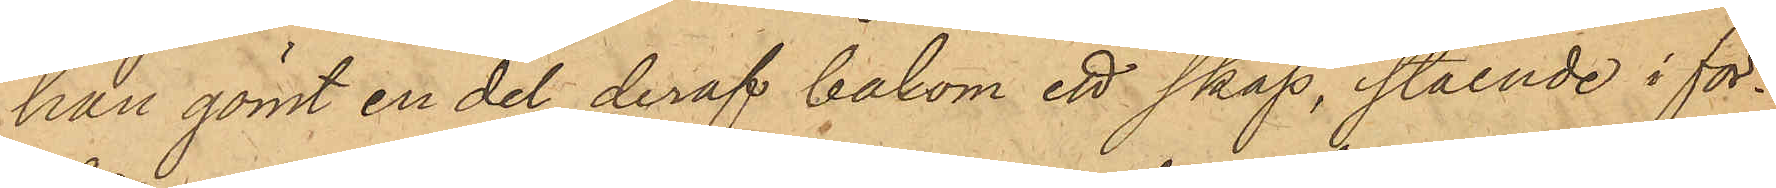han gömt en del deraf bakom ett skåp, stående i för¬
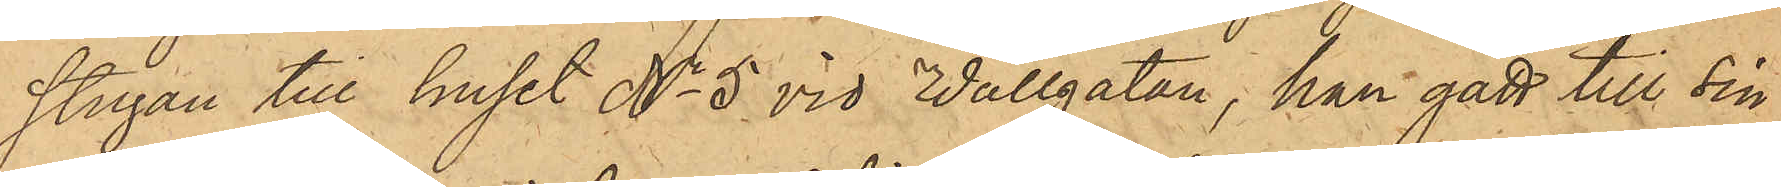stugan till huset No 5 vid Vallgatan, han gått till sin
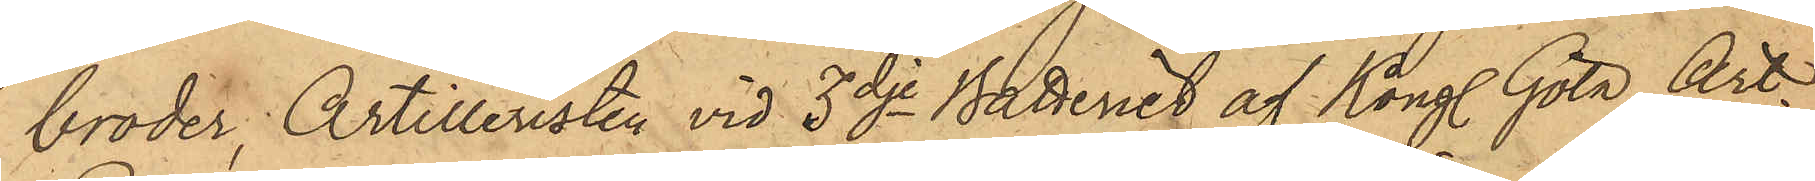broder, Artilleristen vid 3dje Batteriet af Kongl. Göta Art.
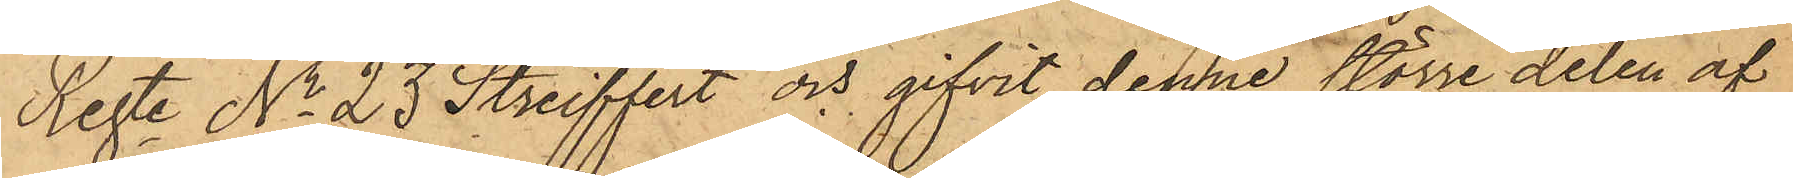Regte No 23 Streiffert och gifvit denne större delen af
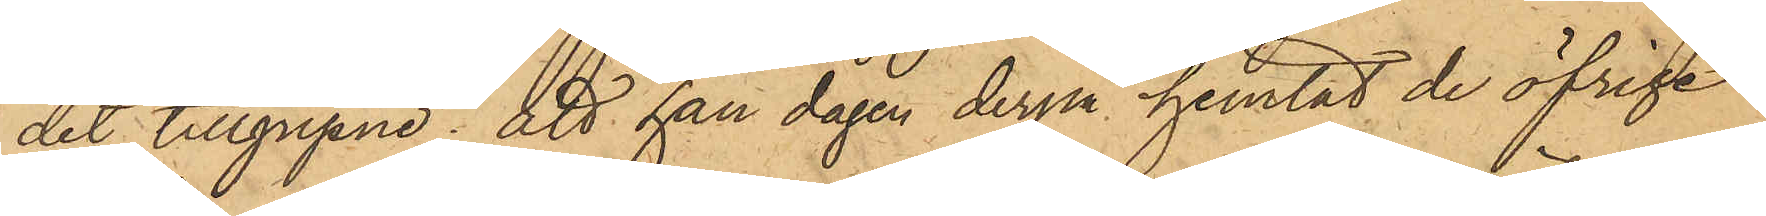det tillgripne; att han dagen derpå hemtat de öfrige
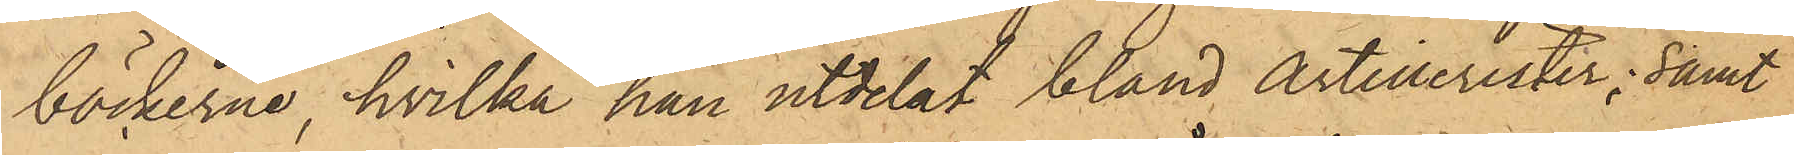böckerne, hvilka han utdelat bland Artillerister; samt
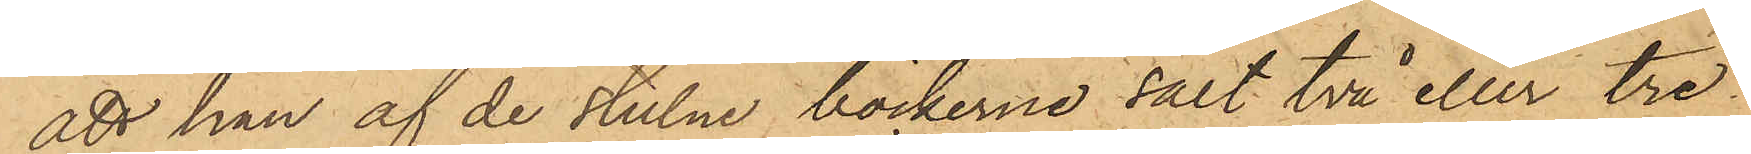att han af de stulne böckerne sålt två eller tre
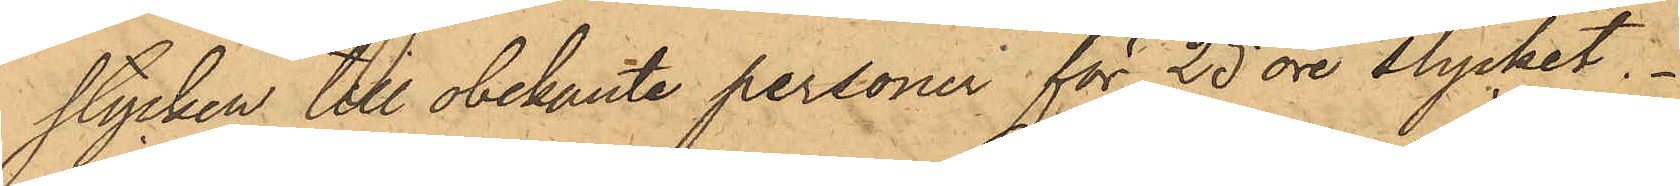stycken till obekante personer för 25 öre stycket.
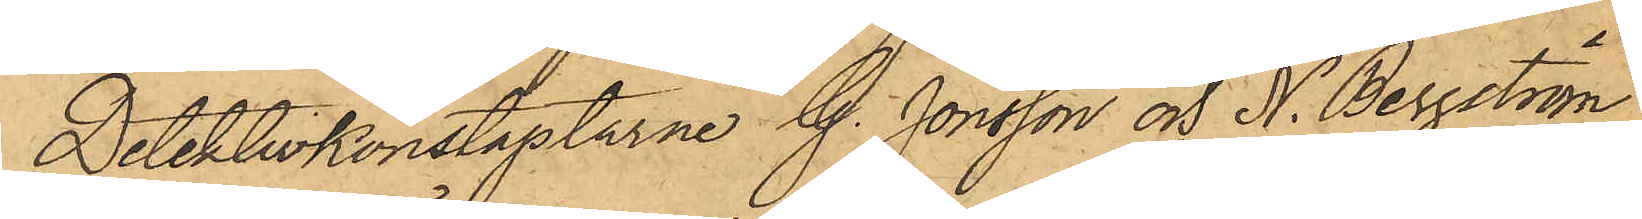Detektivkonstaplarne G. Jönsson och H. Bergström
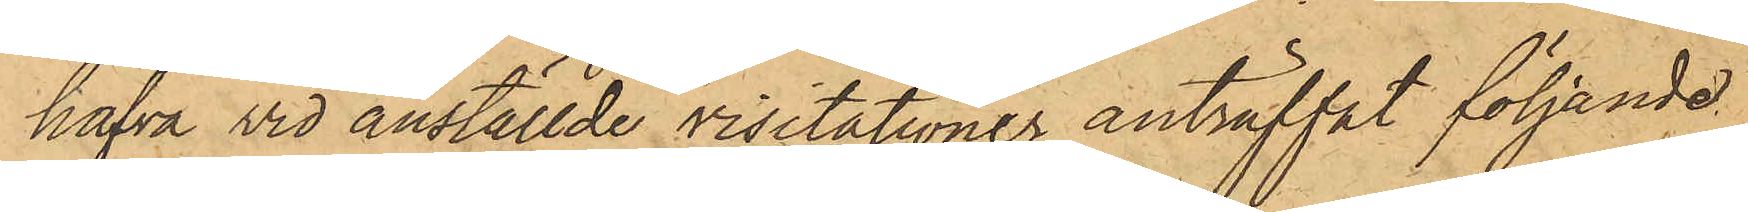hafva vid anställde visitationer anträffat följande
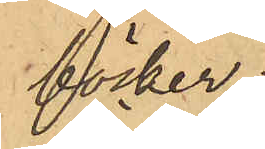böcker:
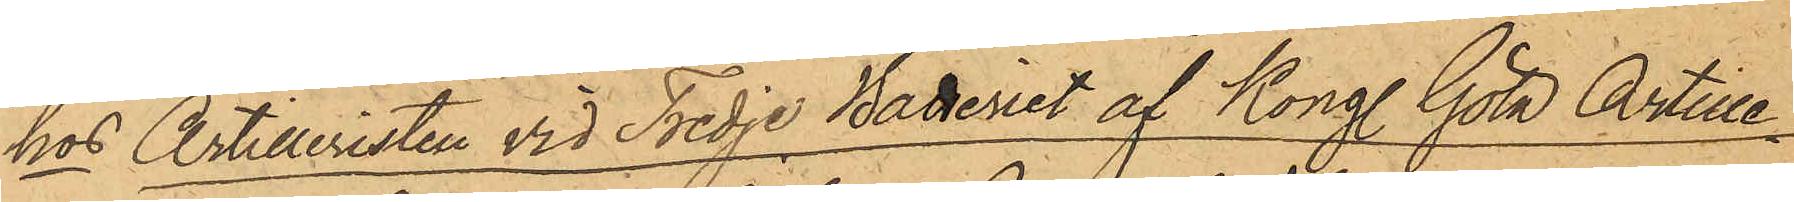hos Artilleristen vid Tredje Batteriet af Kongl. Göta Artille¬
